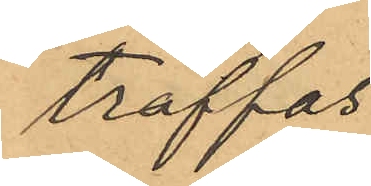träffas
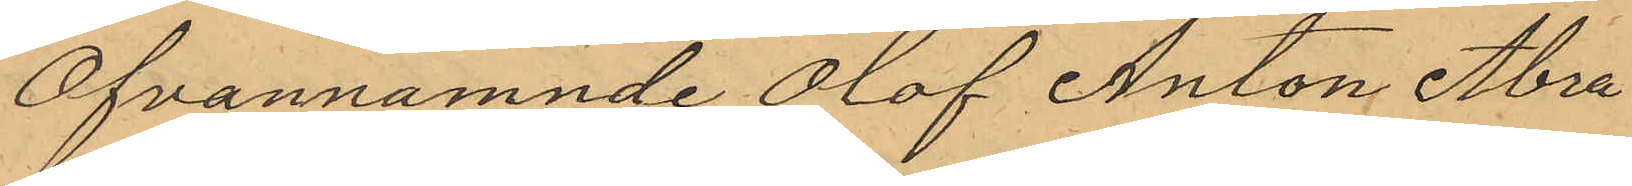Ofvannämnde Olof Anton Abra¬
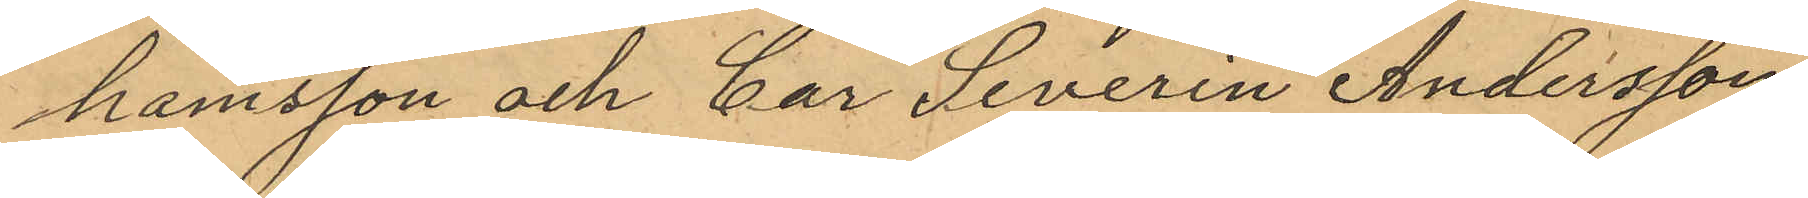hamsson och Car Severin Andersson
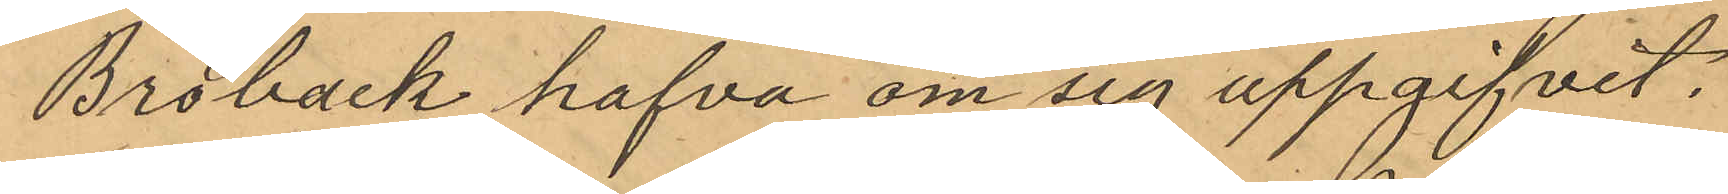Broback hafva om sig uppgifvit.
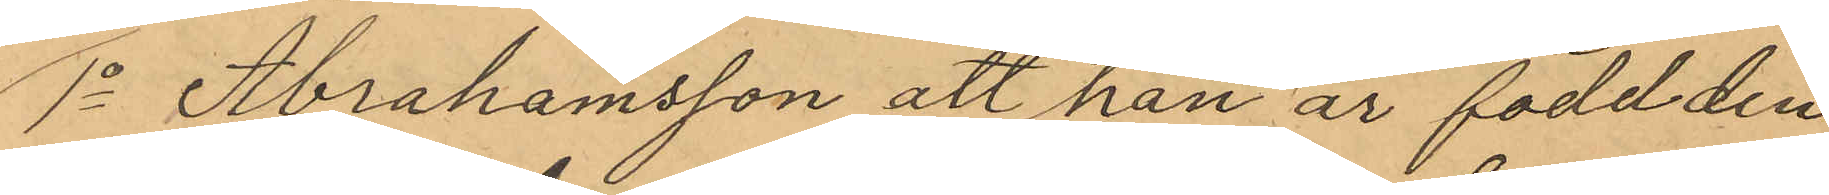1o Abrahamsson att han är född den
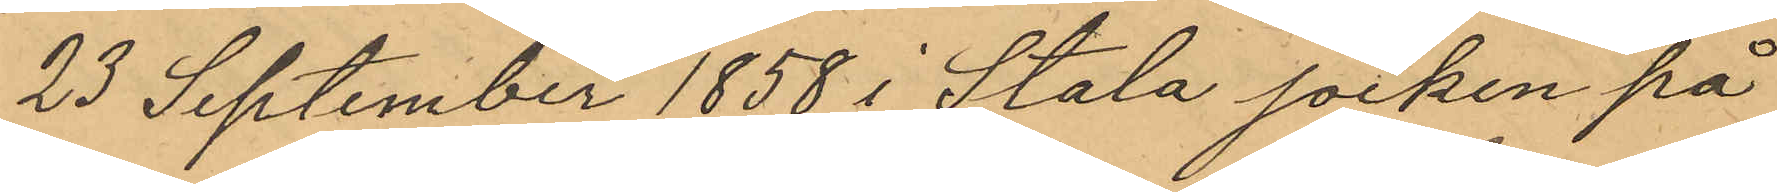23 September 1858 i Stala socken på
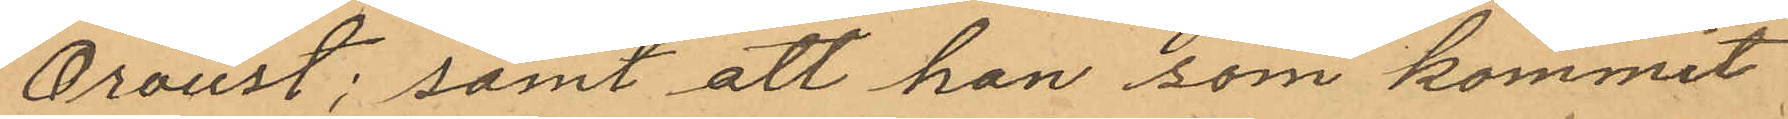Oroust; samt att han som kommit
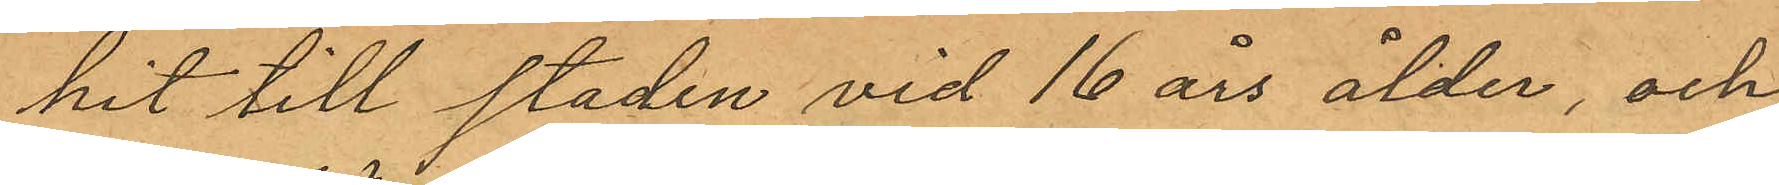hit till staden vid 16 års ålder, och
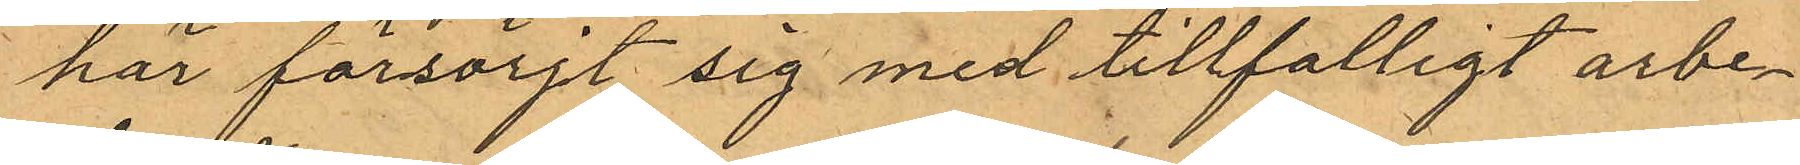här försörjt sig med tillfalligt arbe¬
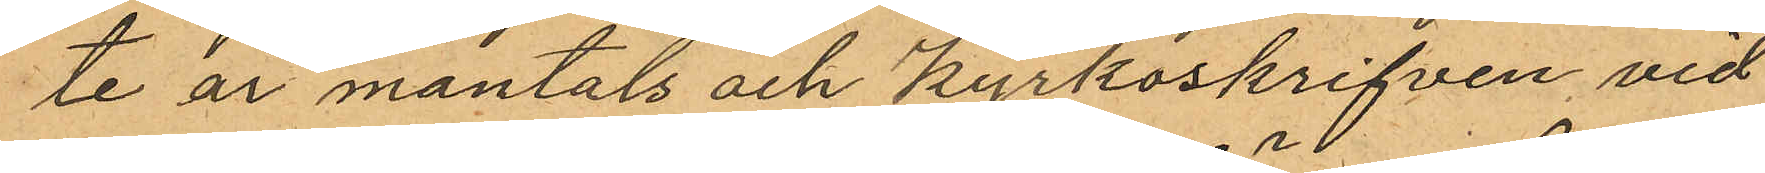te är mantals och kyrkoskrifven vid
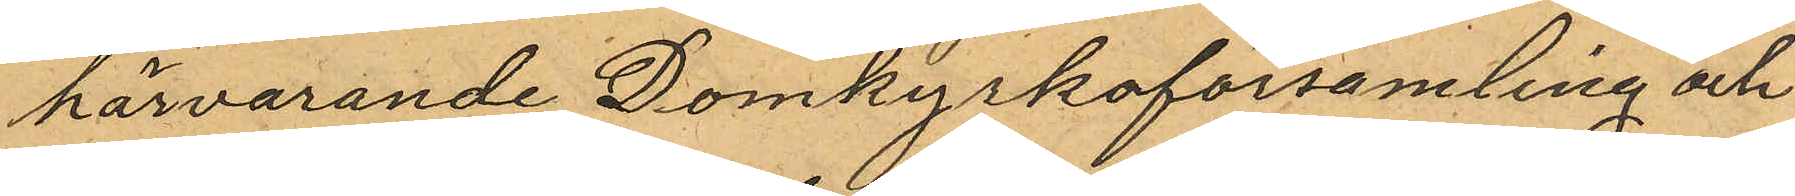härvarande Domkyrkoförsamling och
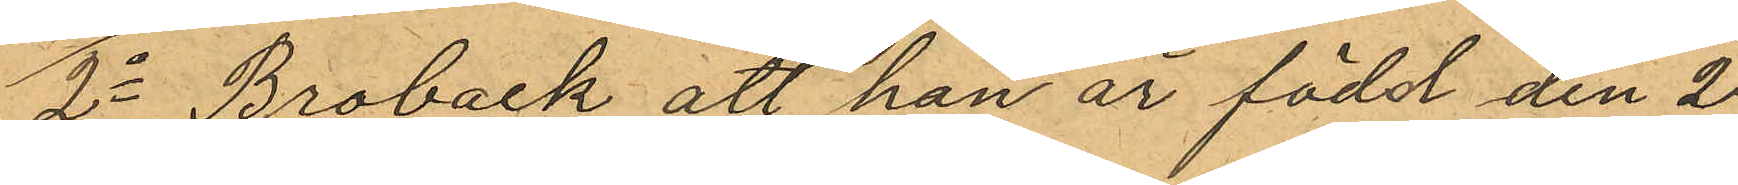2o Broback att han är född den 2
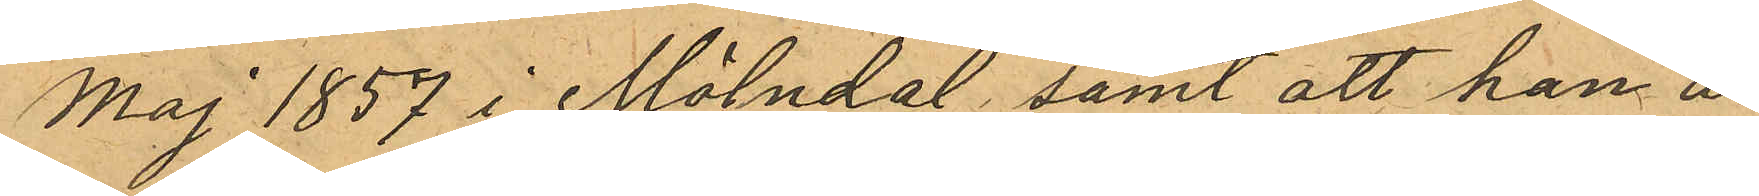Maj 1857 i Mölndal, samt att han är
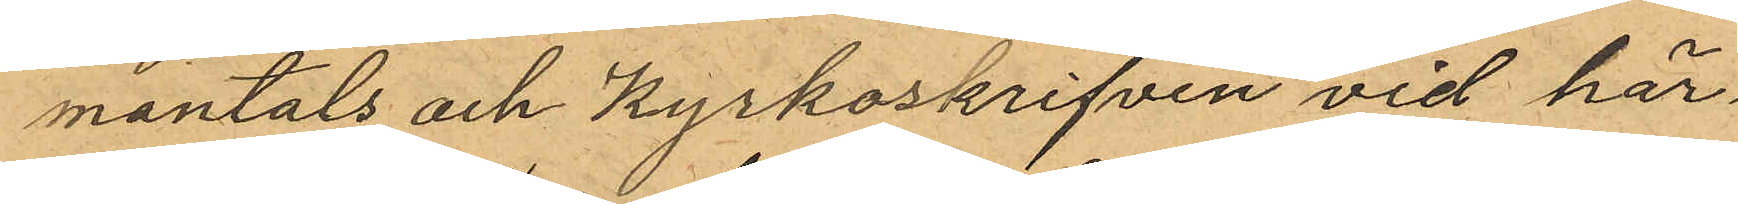mantals och kyrkoskrifven vid här¬
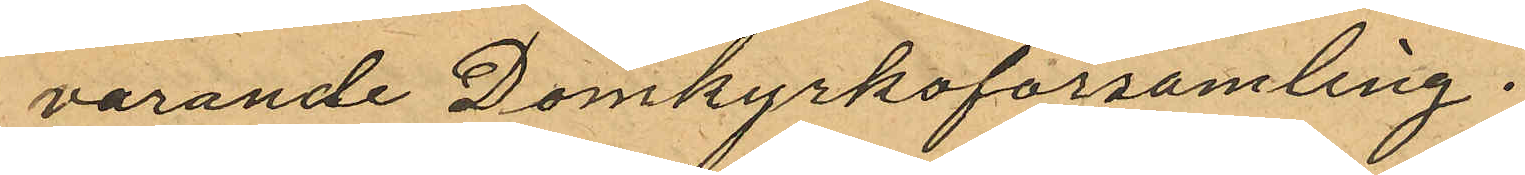varande Domkyrkoförsamling.
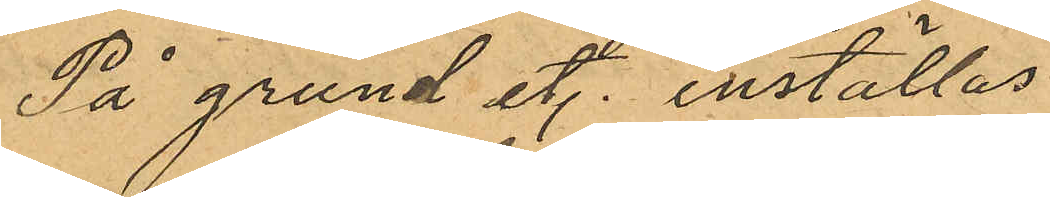På grund et. inställas
